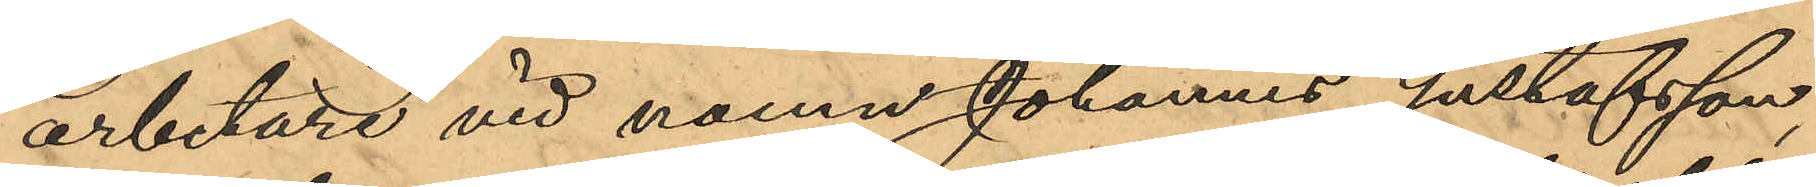arbetare vid namn Johannes Gustafsson,
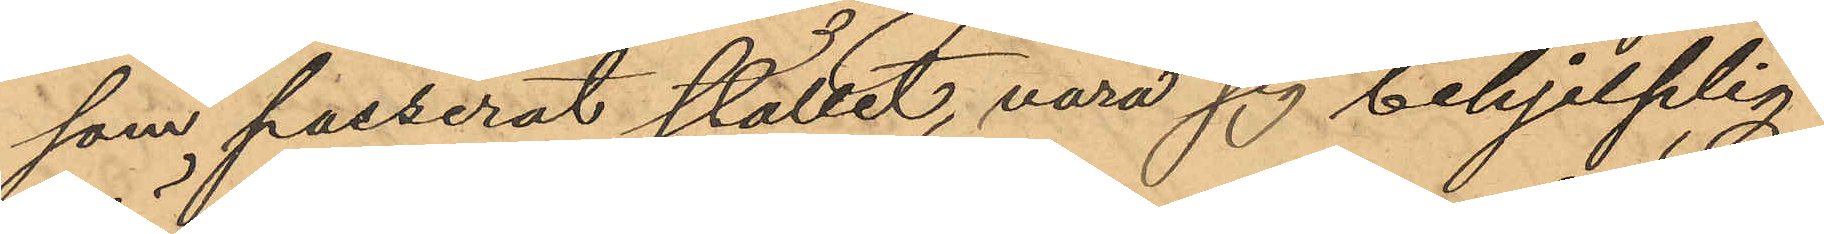som passerat stället, vara sig behjelplig
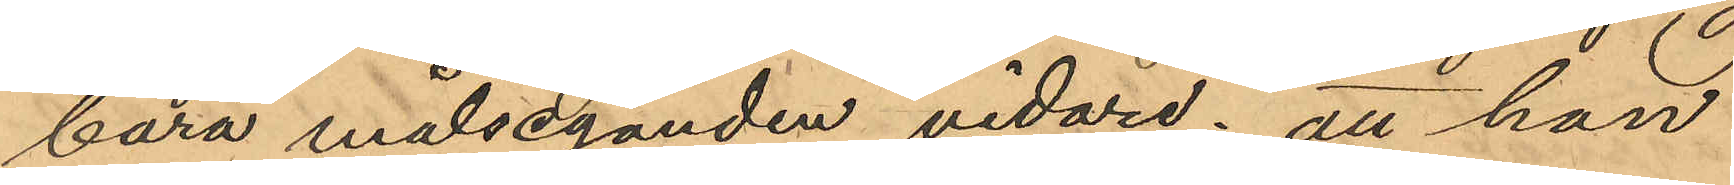bära målseganden vidare; att han
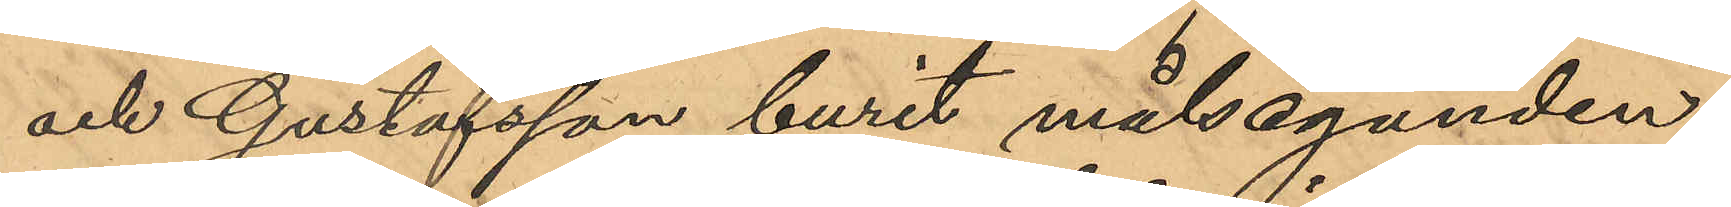och Gustafsson burit målseganden
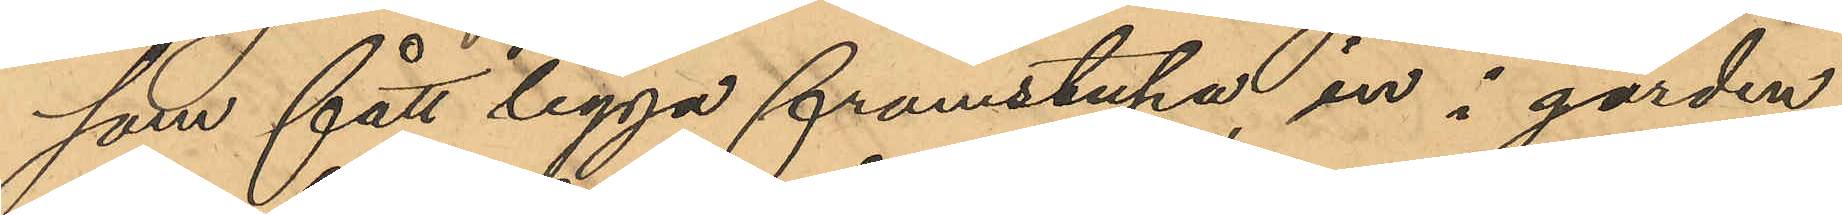som fått ligga framstupa, in i gården
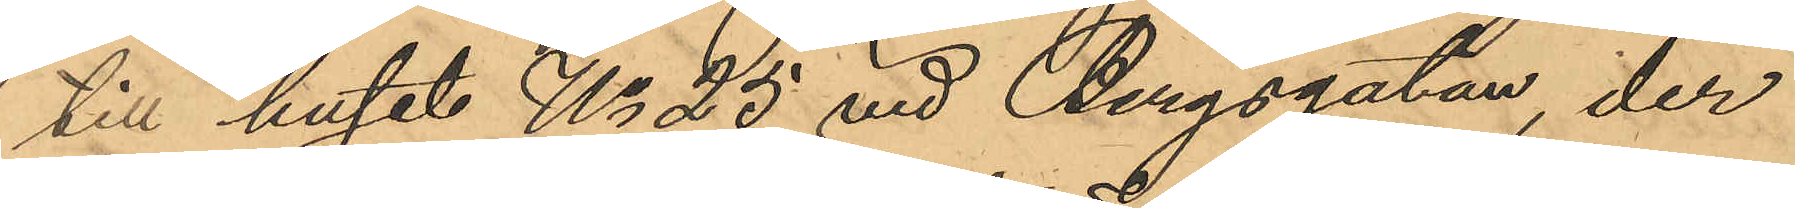till huset No 25 vid Bergsgatan, der
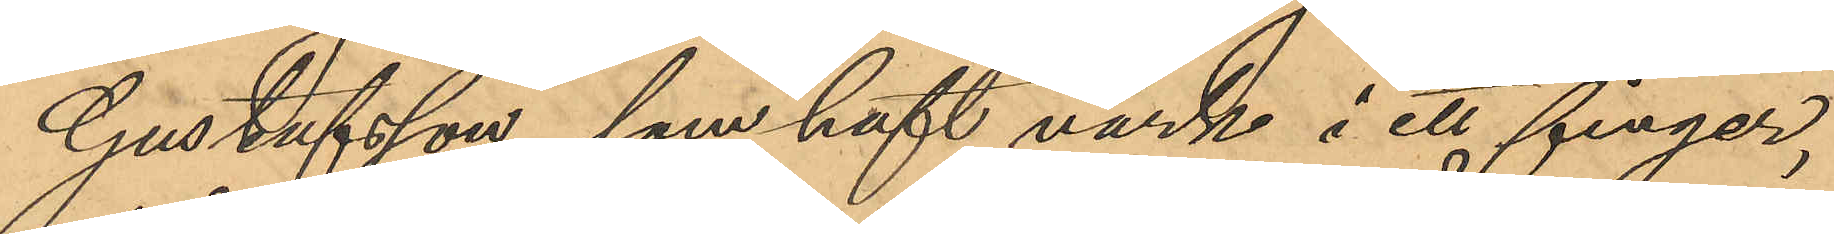Gustafsson, som haft värk i ett finger,
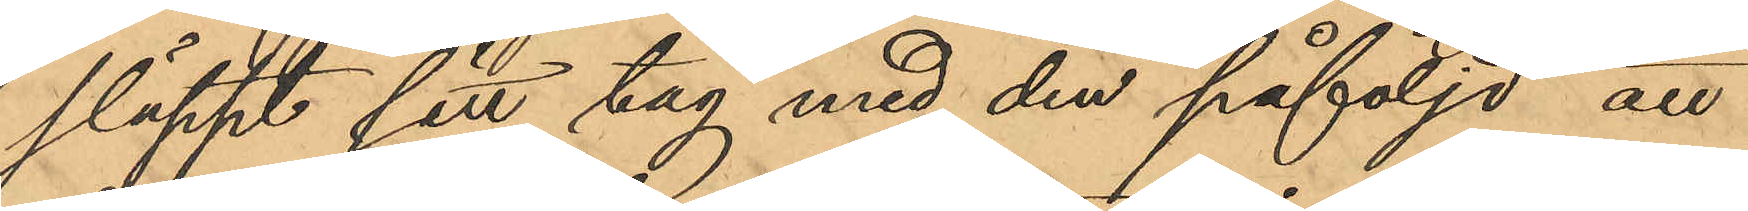släppt sitt tag med den påföljd att
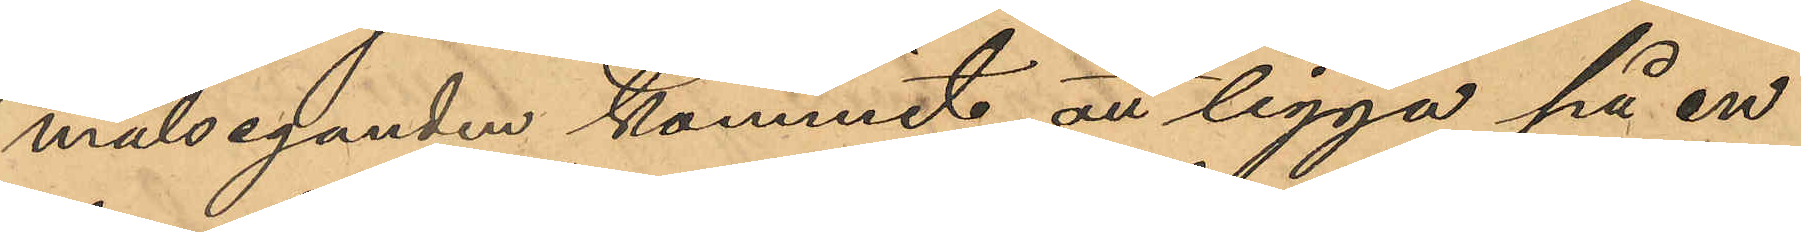målseganden kommit att ligga på en
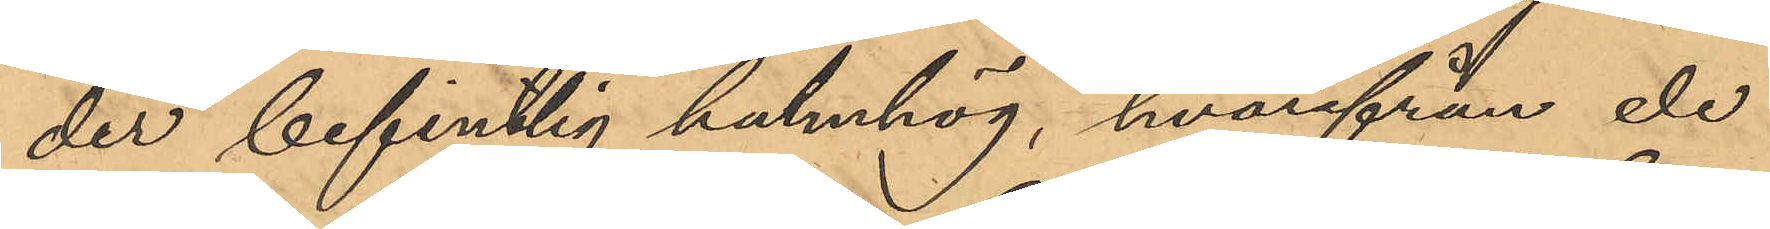der befintlig halmhög, hvarifrån de
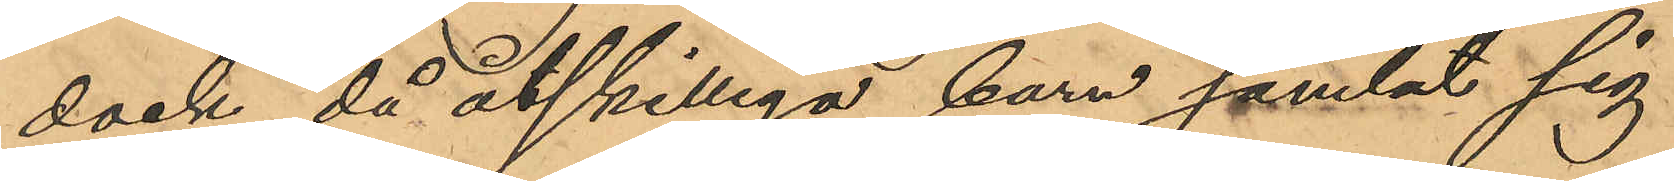dock, då åtskilliga barn samlat sig
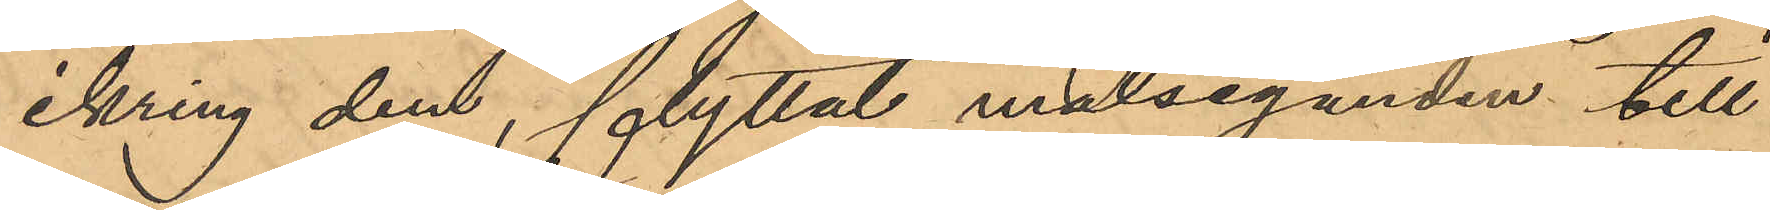ikring dem, flyttat målseganden till
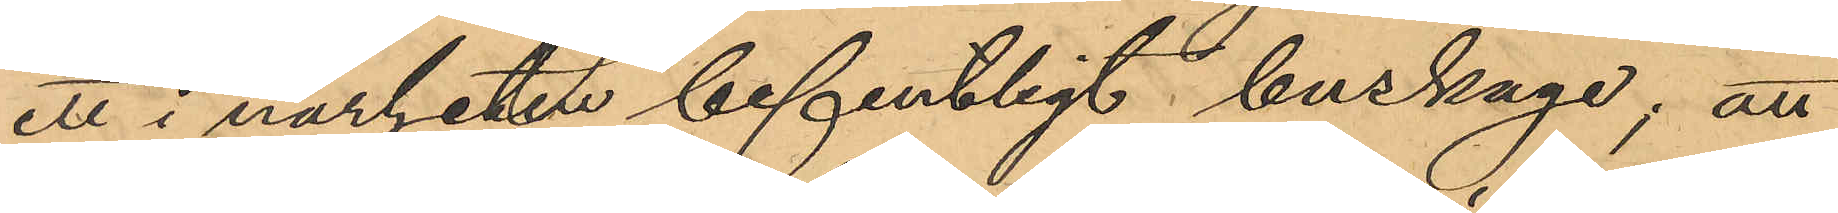ett i närheten befintligt buskage; att
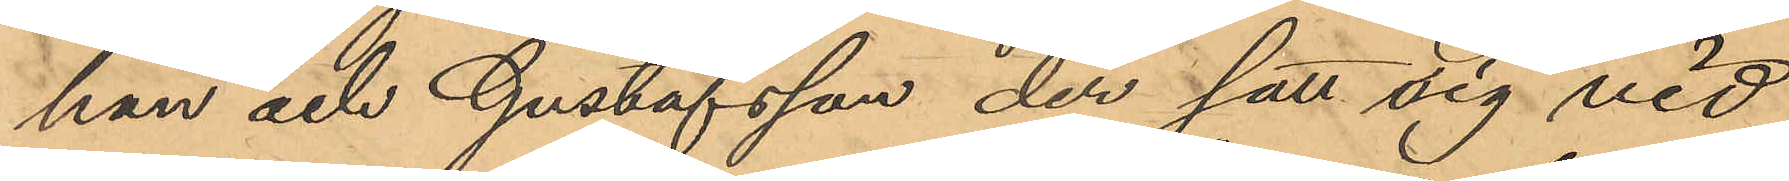han och Gustafsson der satt sig vid
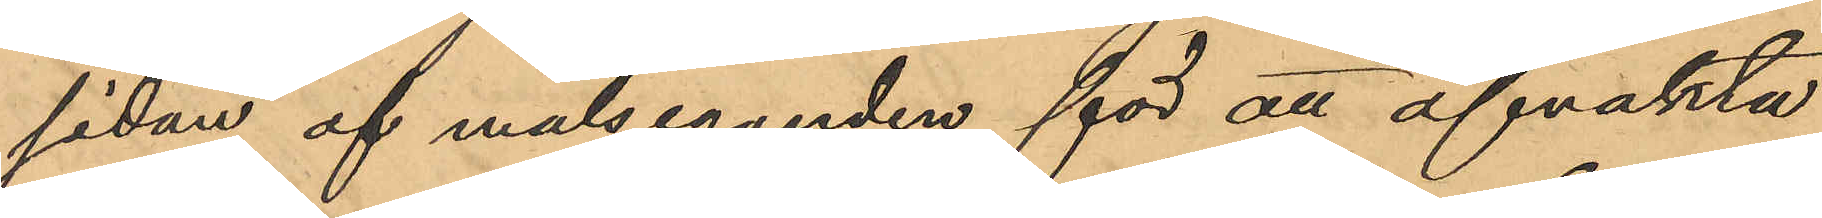sidan af målseganden för att afvakta
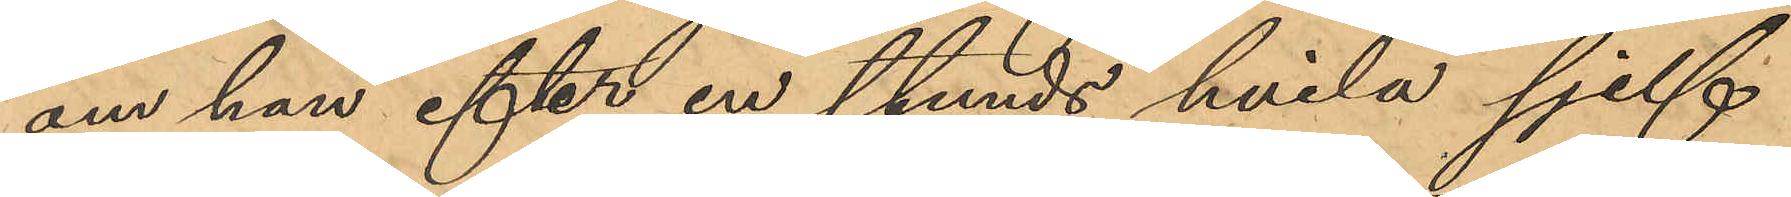om han efter en stunds hvila sjelf
